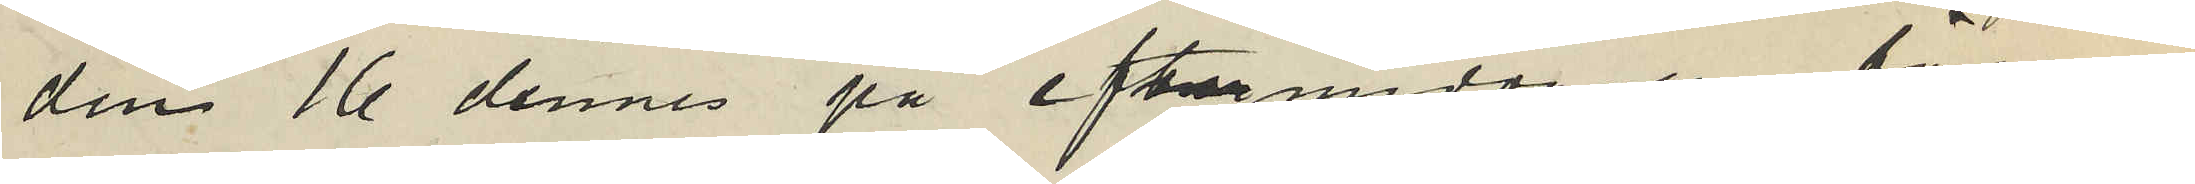den 16 dennes på eftermiddagen försvun¬
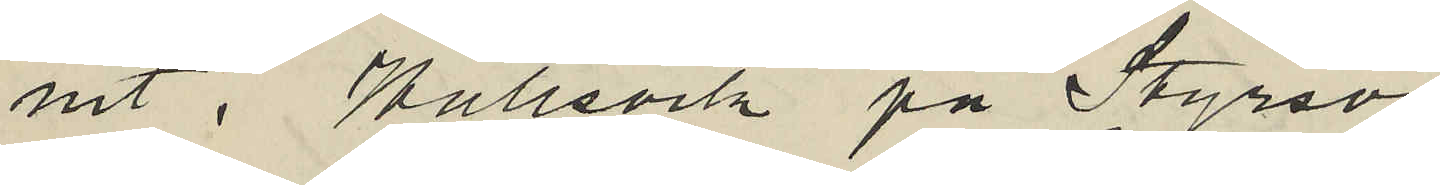nit i Kullsvik på Styrsö
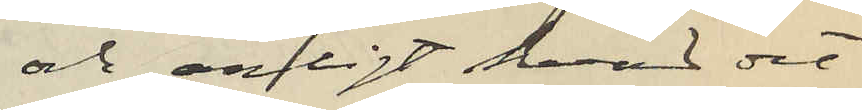och enligt hvad det
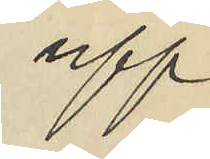upp¬
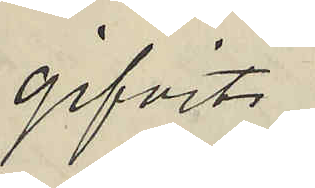gifvits
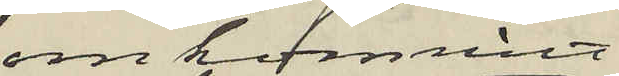omkommit
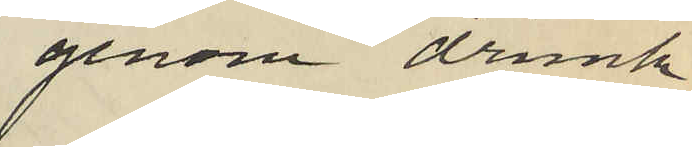genom drunk¬
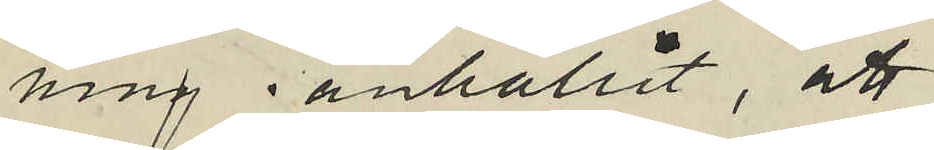ning anhållit, att
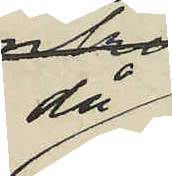då
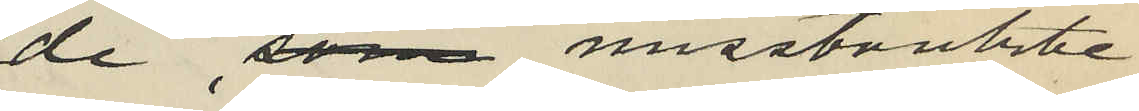de som misstänkte
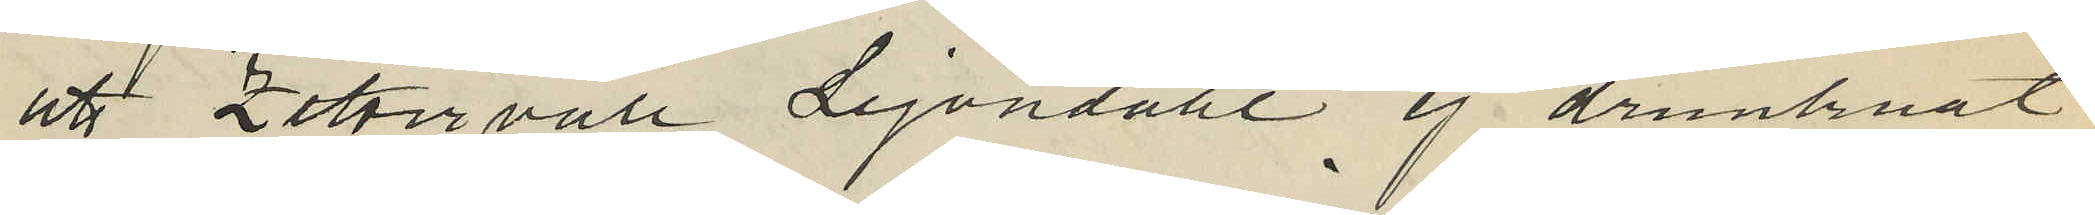att Zettervall Lejondahl ej drunknat
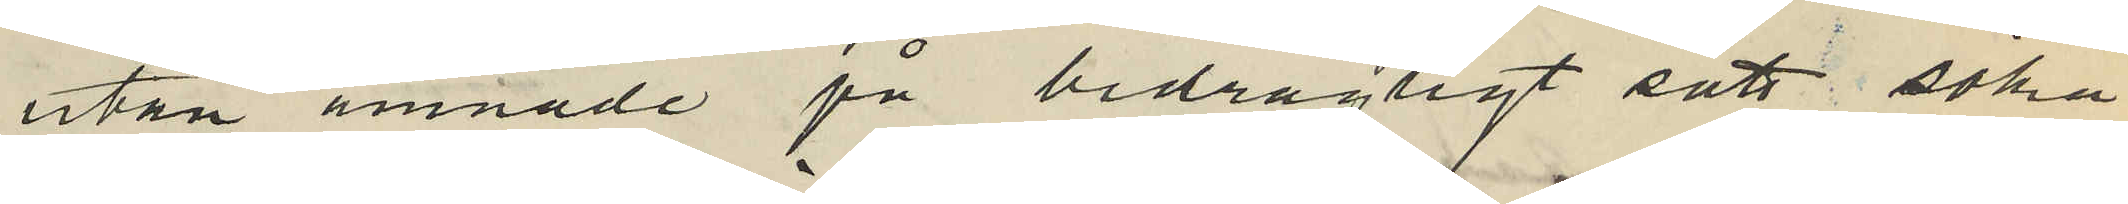utan ämnade på bedrägligt sätt söka
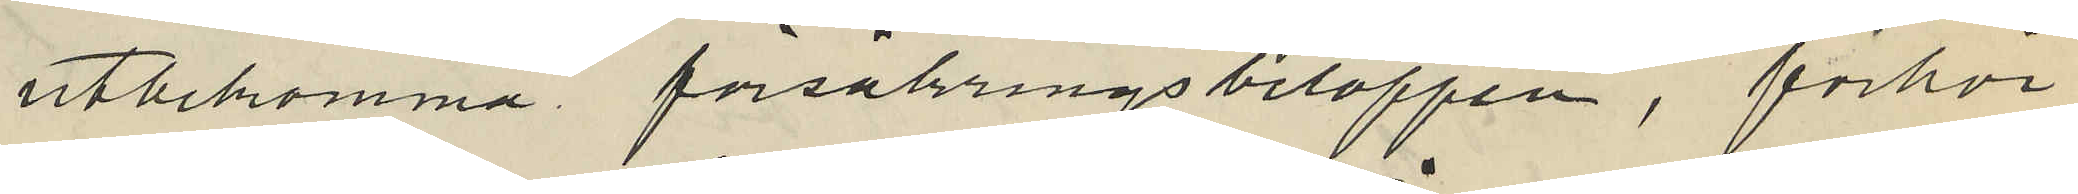utbekomma försäkringsbeloppen, förhör
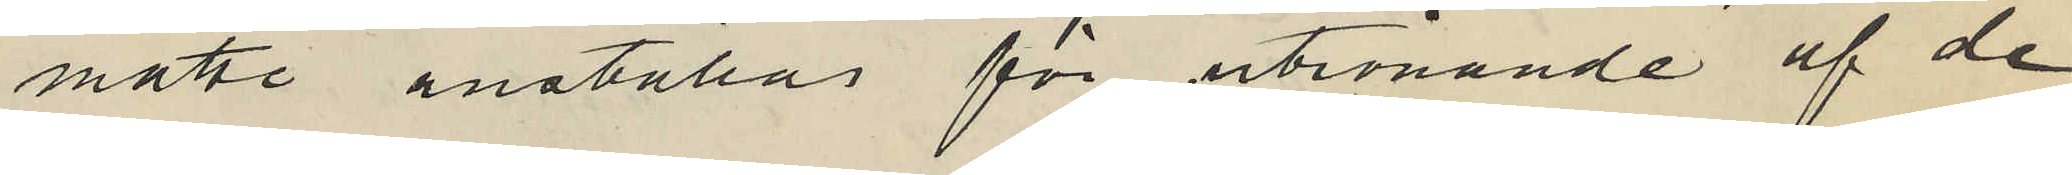måtte anställas för utrönande af de
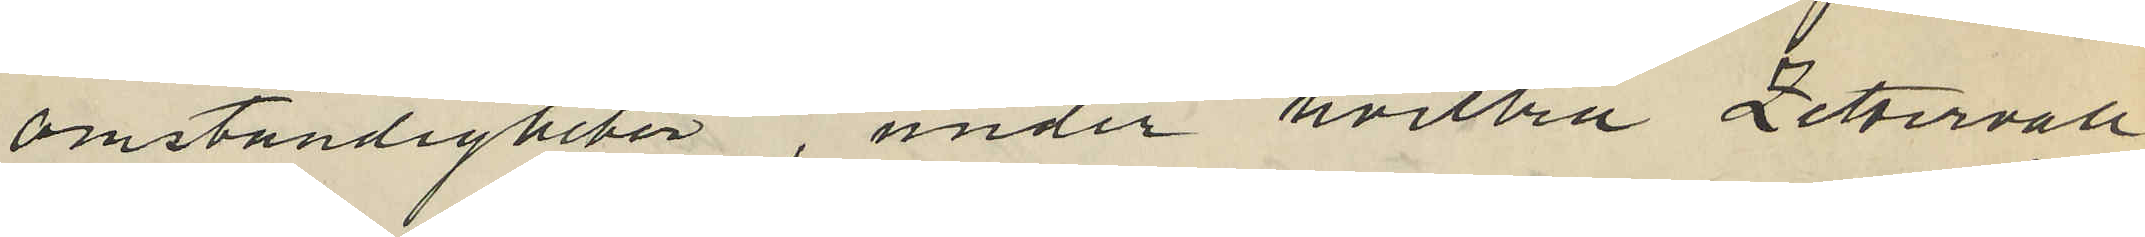omständigheter, under hvilka Zettervall
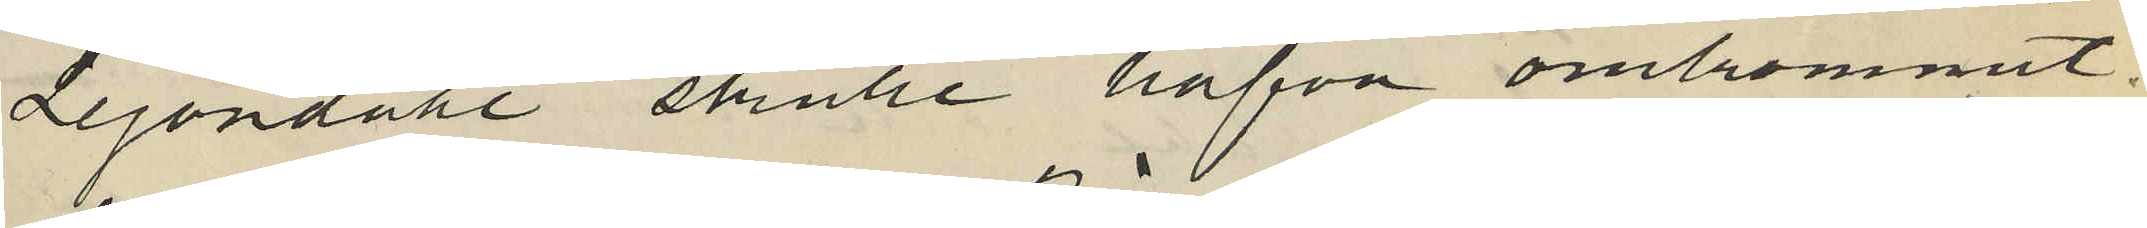Lejondahl skulle hafva omkommit.
